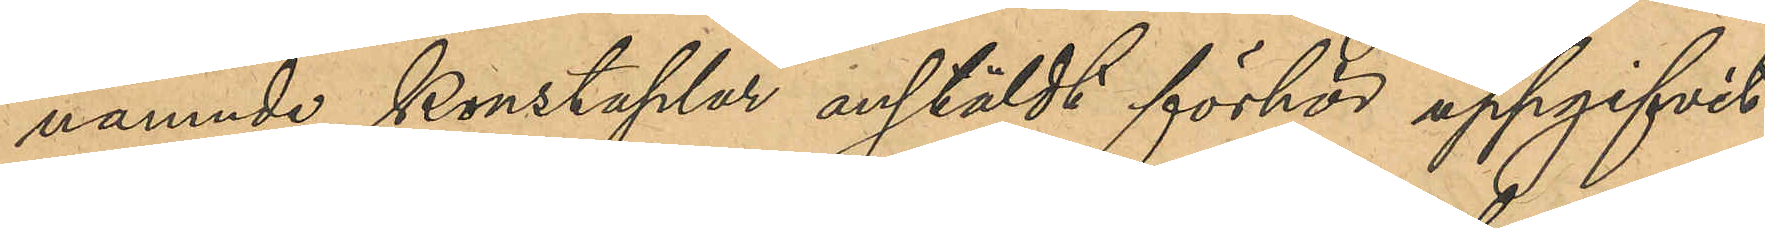nämnde konstaplar anstäldt förhör uppgifvit
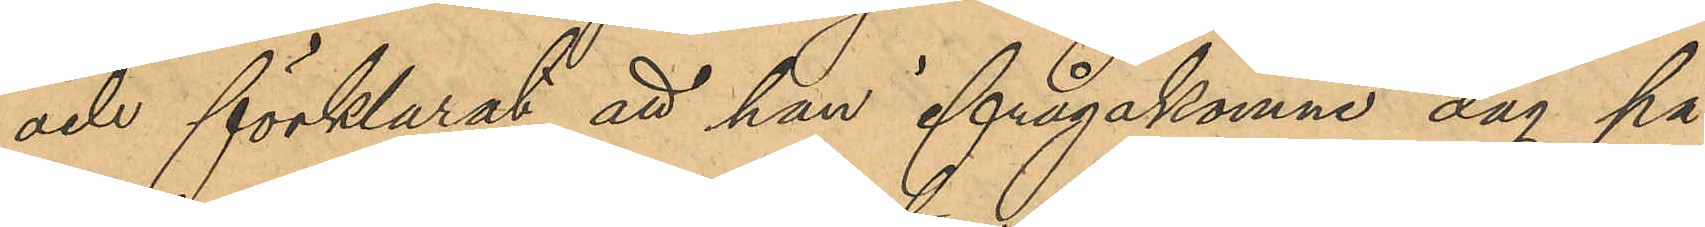och förklarat, att han ifrågakomne dag på
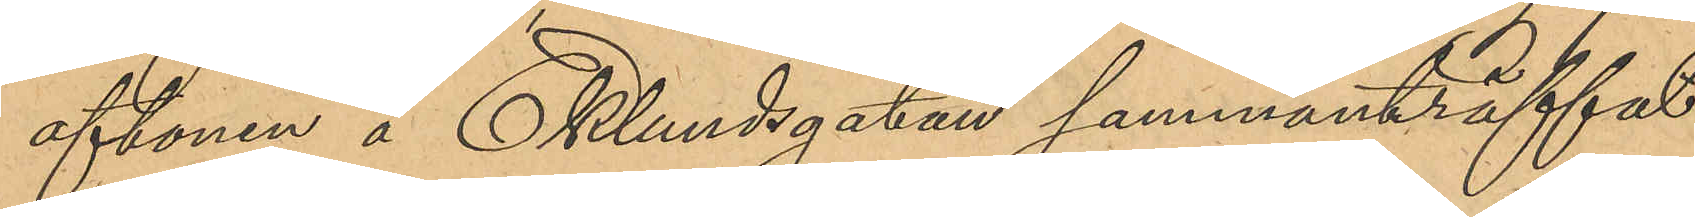aftonen å Eklundsgatan sammanträffat
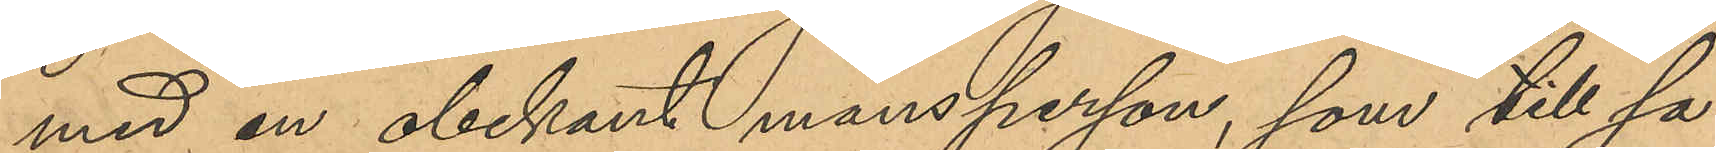med en obekant mansperson, som till sa¬
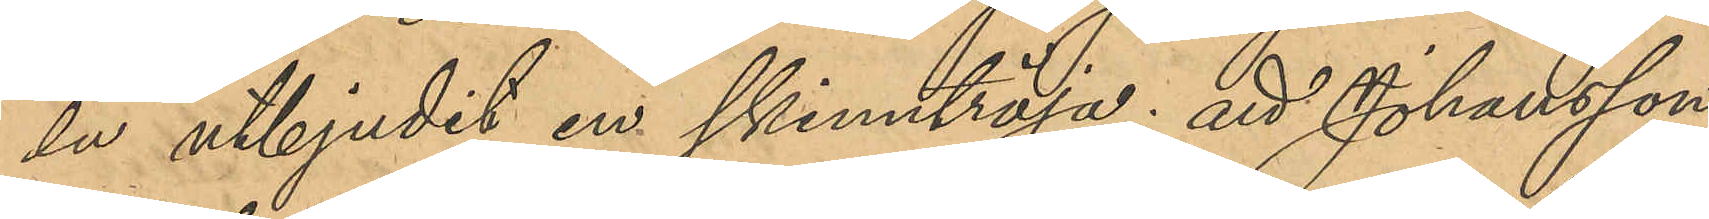lu utbjudit en skinntröja; att Johansson
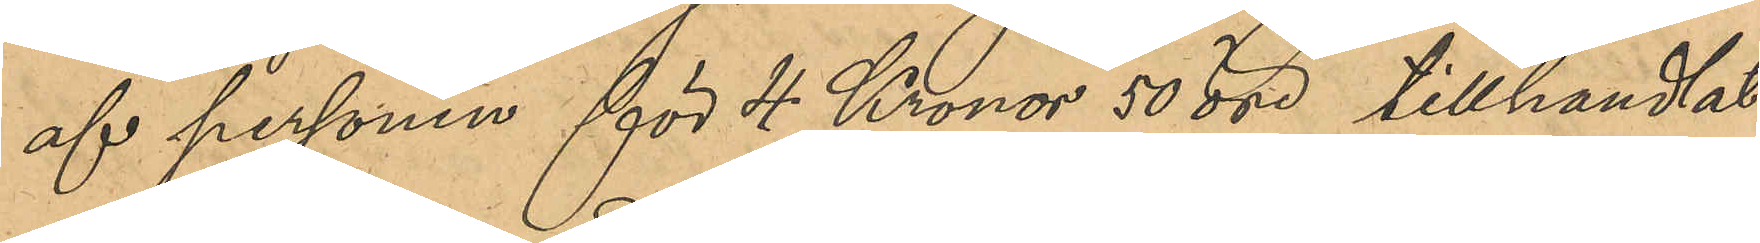af personen för 4 Kronor 50 öre tillhandlat
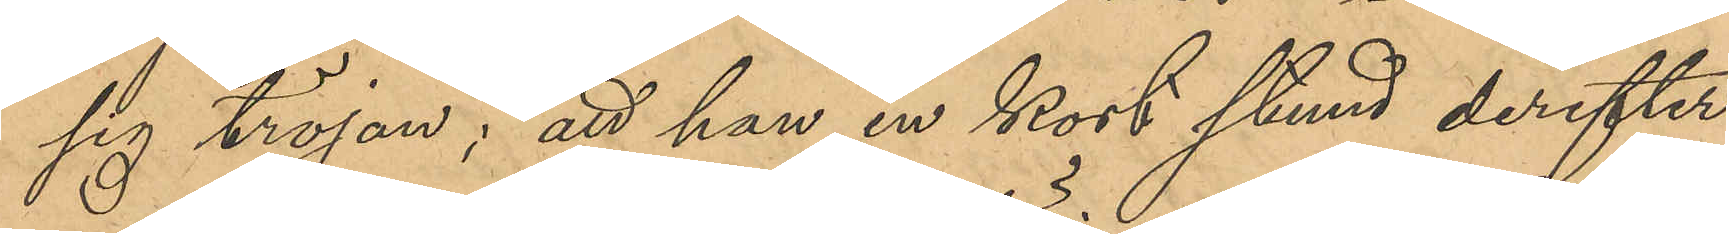sig tröjan; att han en kort stund derefter
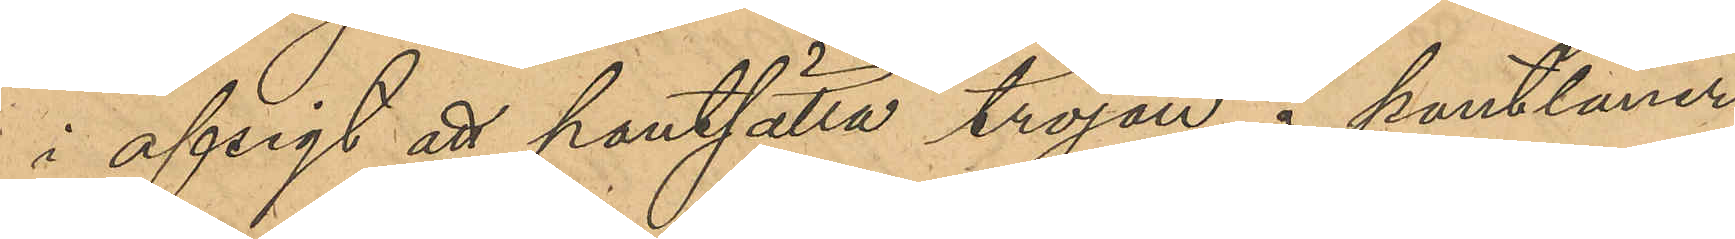i afsigt att pantsätta tröjan å pantlåner¬
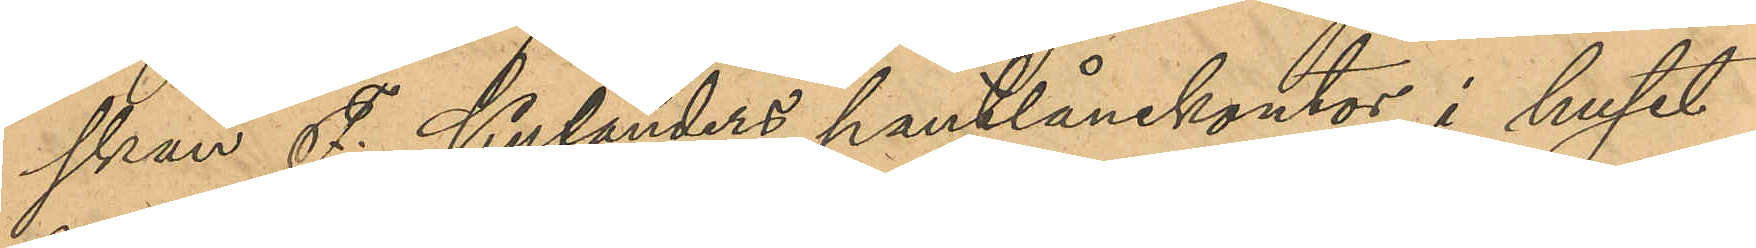skan F. Kylanders pantlånekontor i huset
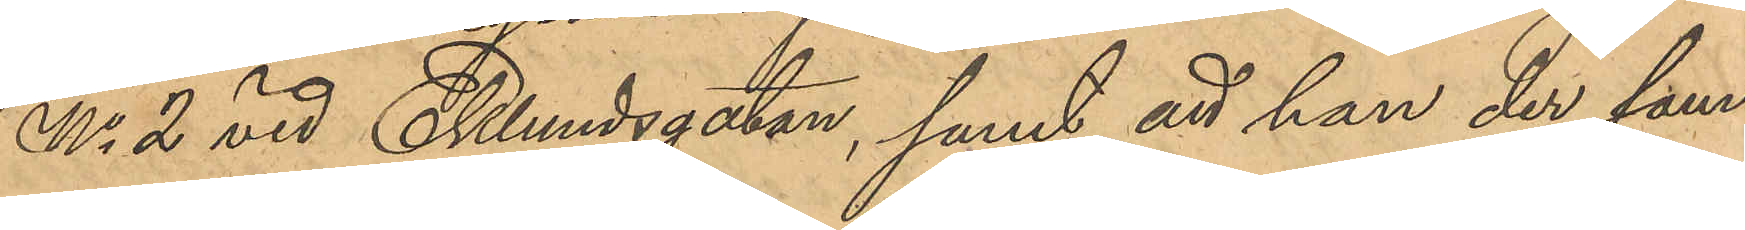No 2 vid Eklundsgatan, samt att han der sam¬
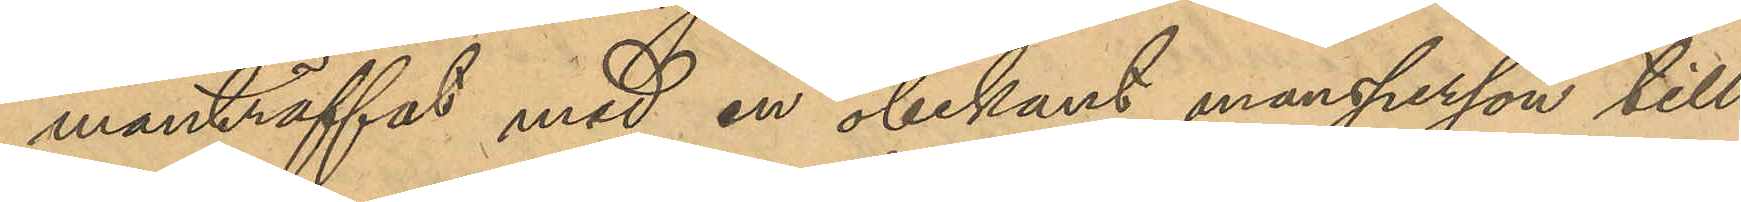manträffat med en obekant mansperson till
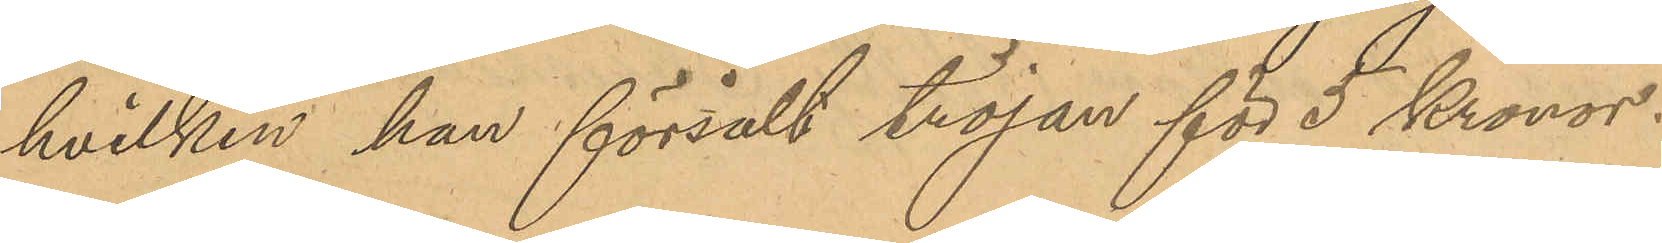hvilken han försålt tröjan för 5 Kronor.
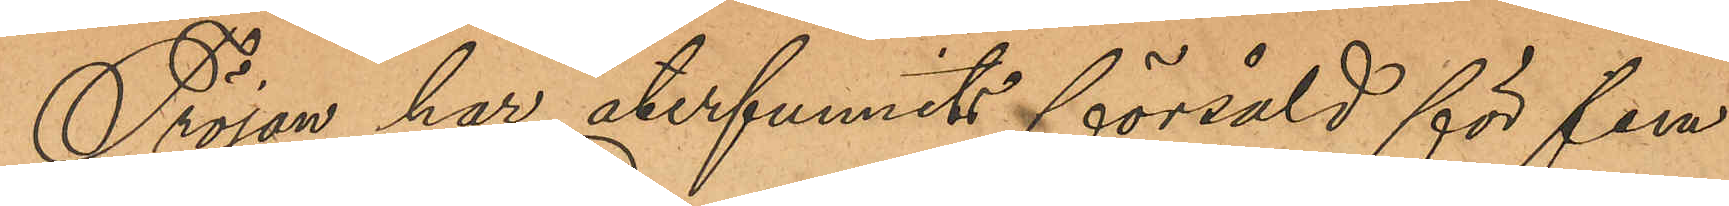Tröjan har återfunnits försåld för fem
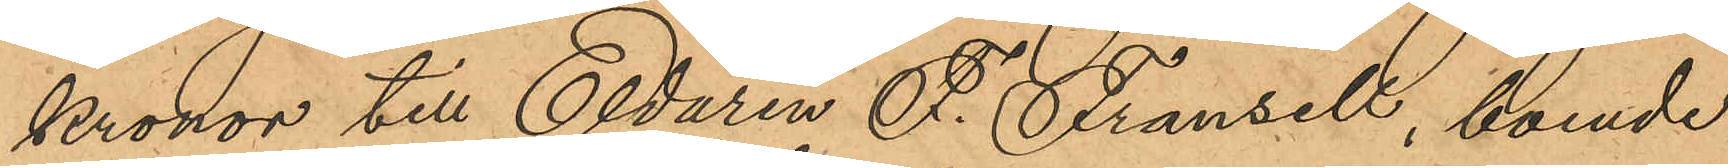kronor till Eldaren F. Fransell, boende
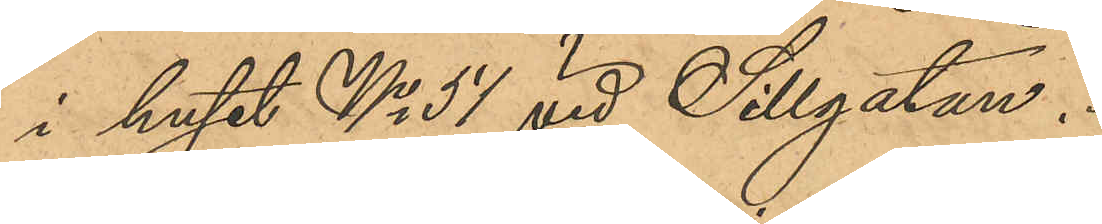i huset No 54 vid Sillgatan.
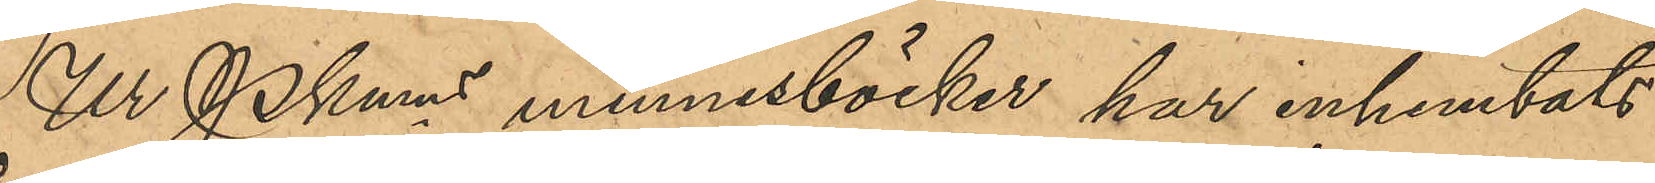Ur Pkmns minnesböcker har inhemtats
